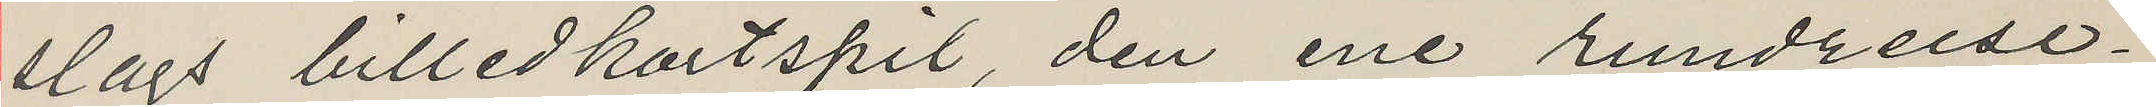slags billedkortspil, den ene rundreise¬
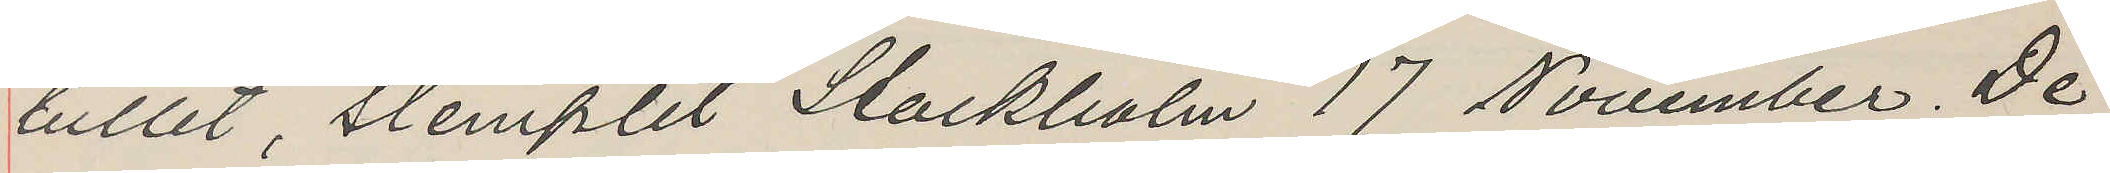billet, stemplet Stockholm 17 November. De¬
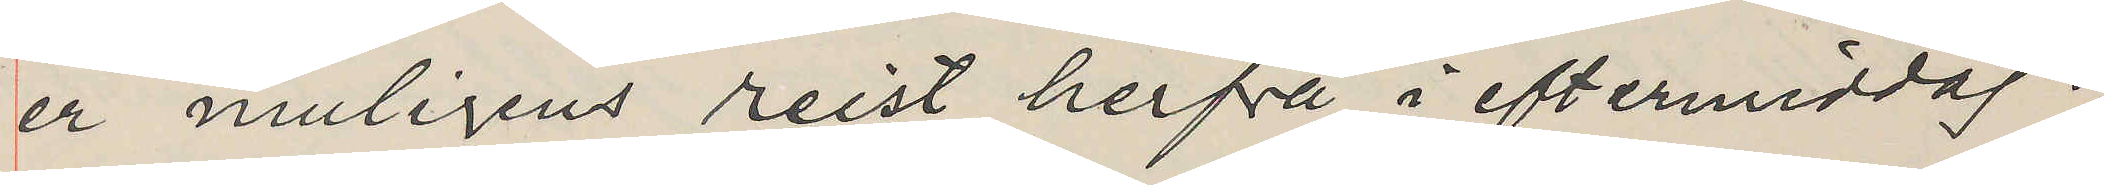er muligens reist herfrå i eftermiddag.
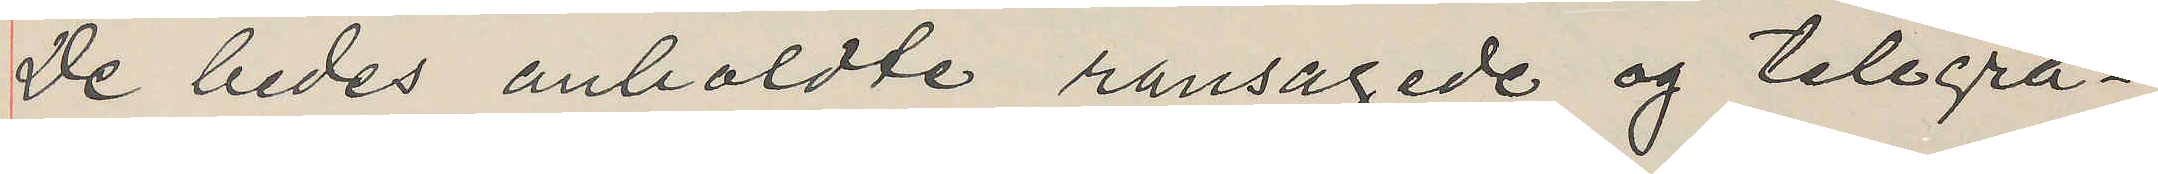De bedes anholdte ransagede og telegra¬
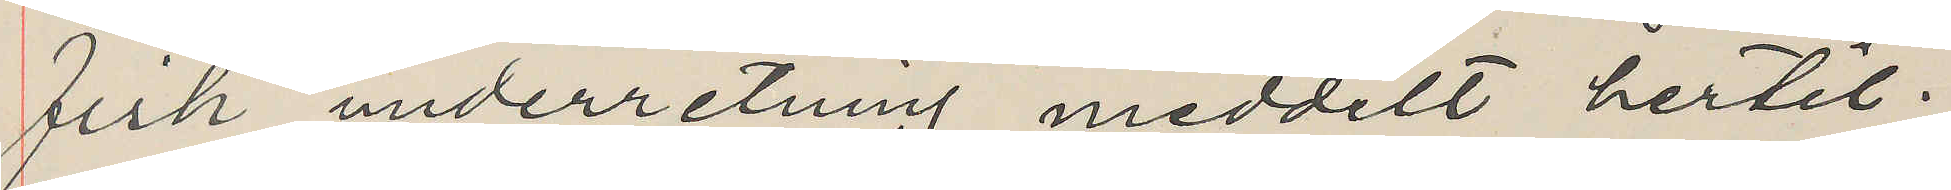fisk underretning meddelt hertil.
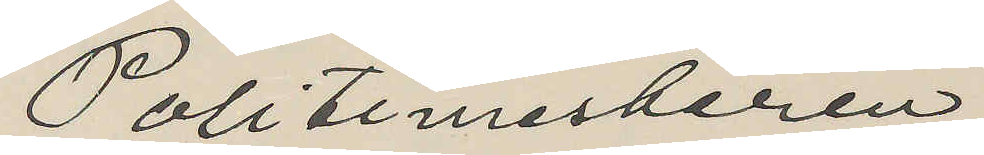Politimesteren
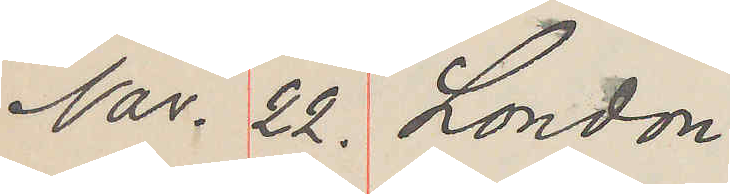Nov. 22. London
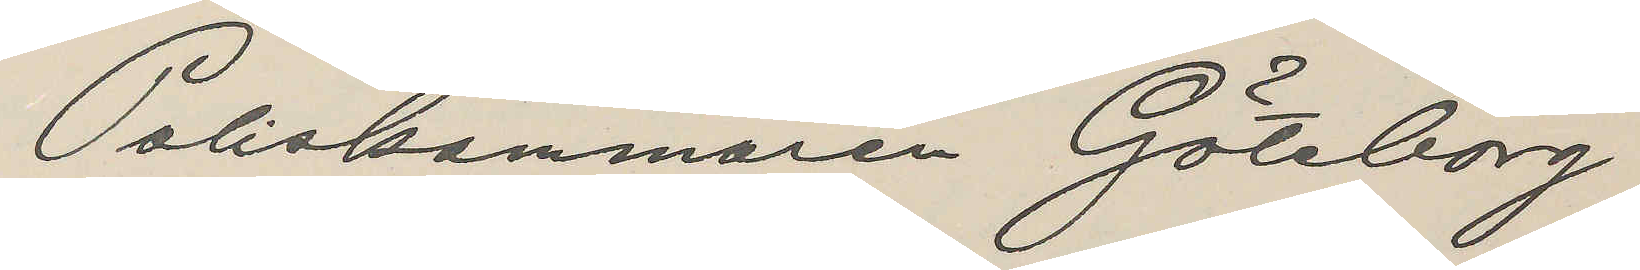Poliskammaren Göteborg
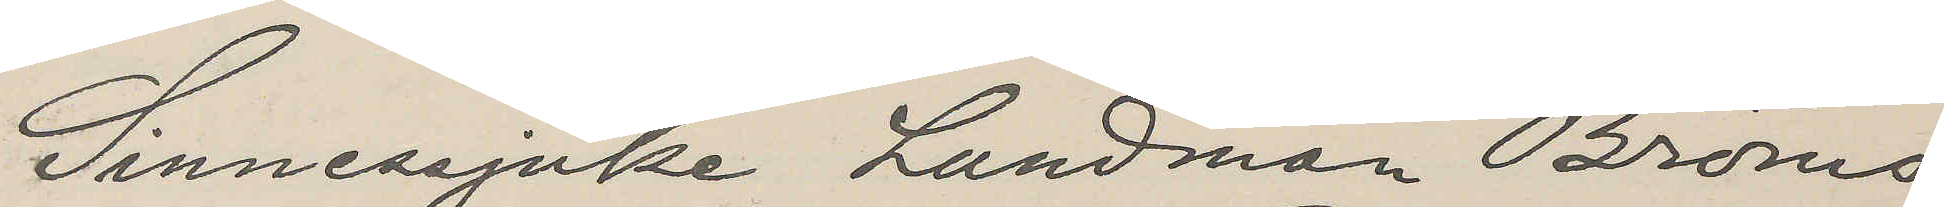Sinnesjuke Landman Bröms
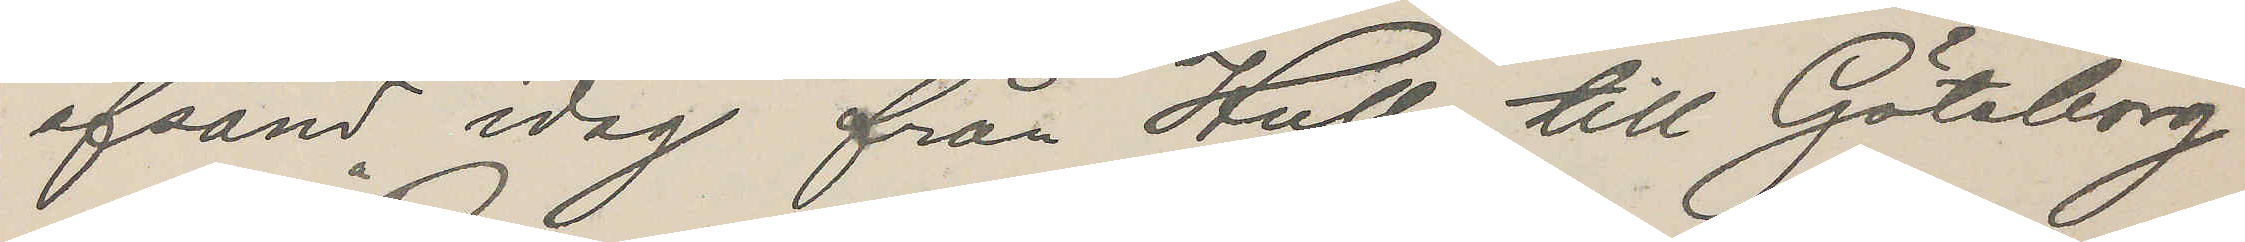afsänd idag från Hull till Göteborg
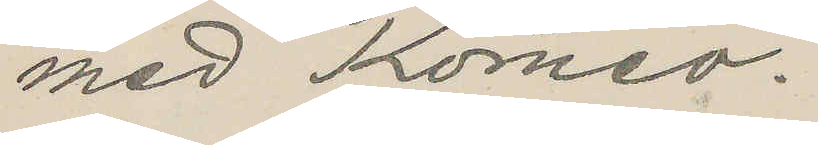med "Romeo".
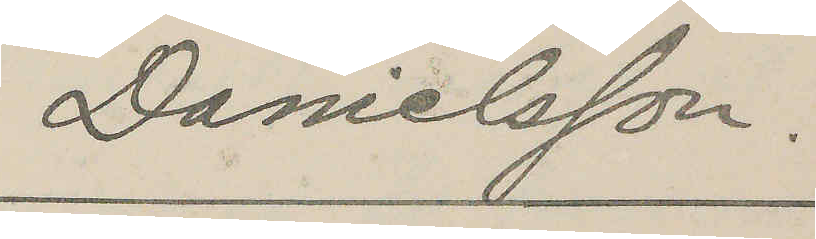Danielsson.
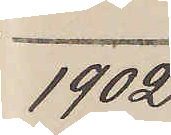1902
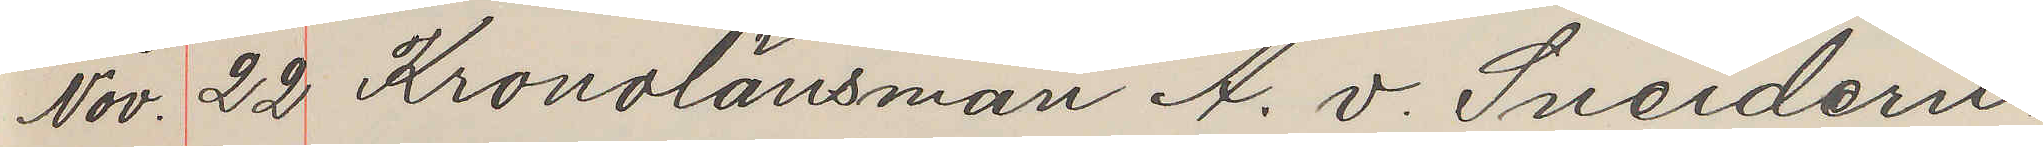Nov. 22 Kronolänsman A. v. Sneidern
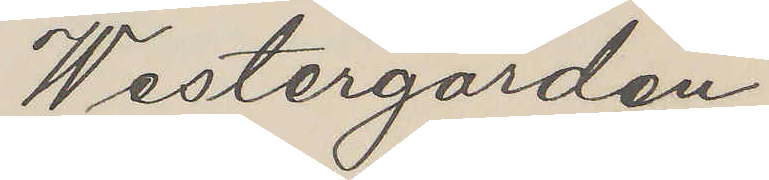Westergården
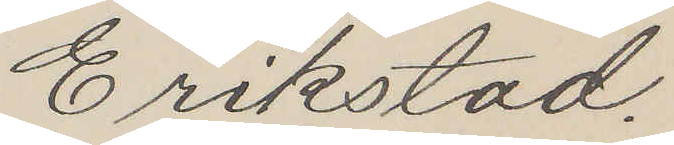Erikstad.
